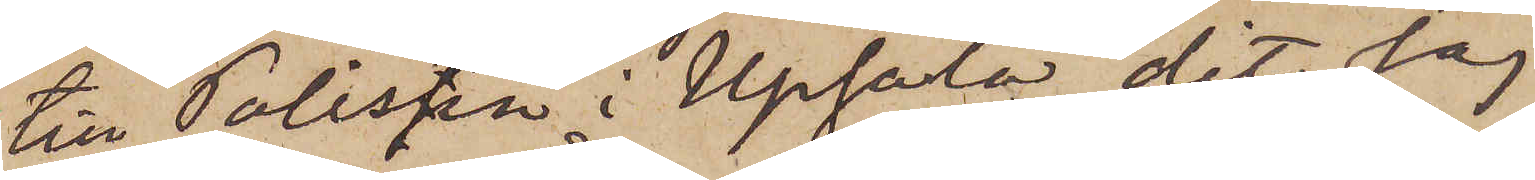till Polisen i Upsala, dit jag
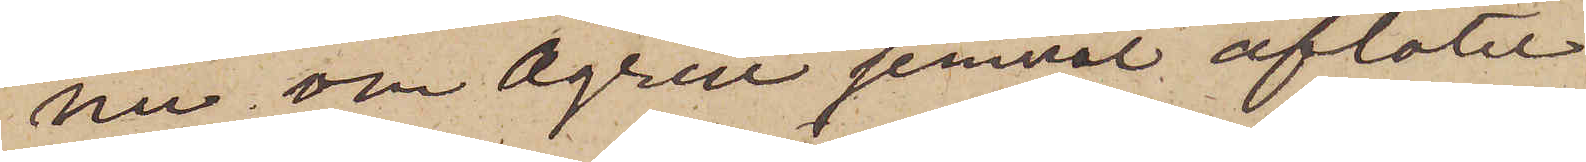nu om Ågren jemväl aflåter
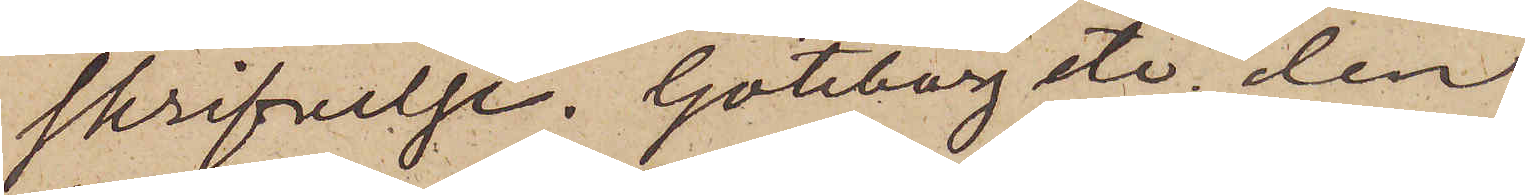skrifvelse. Göteborg etc.  den
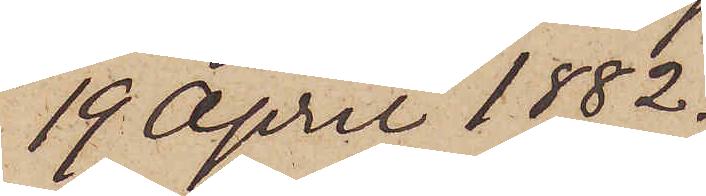19 April 1882.
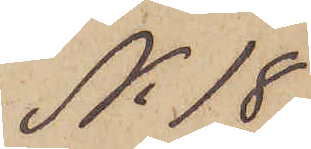No 18
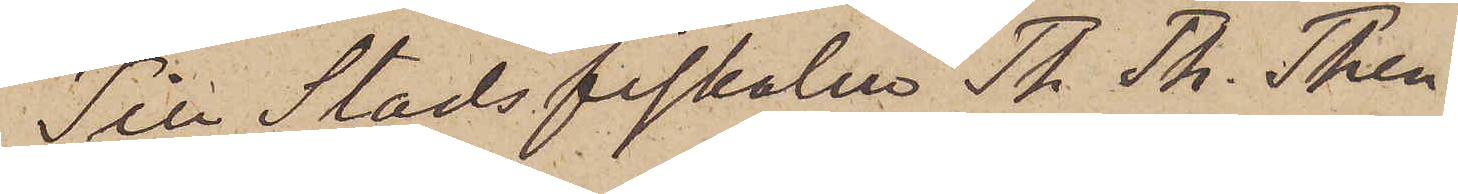Till Stadsfiskalen Th. Th. Then¬
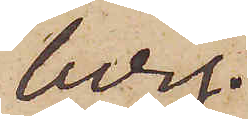berg.
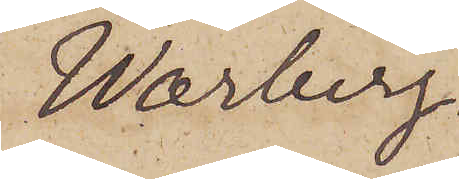Warberg.
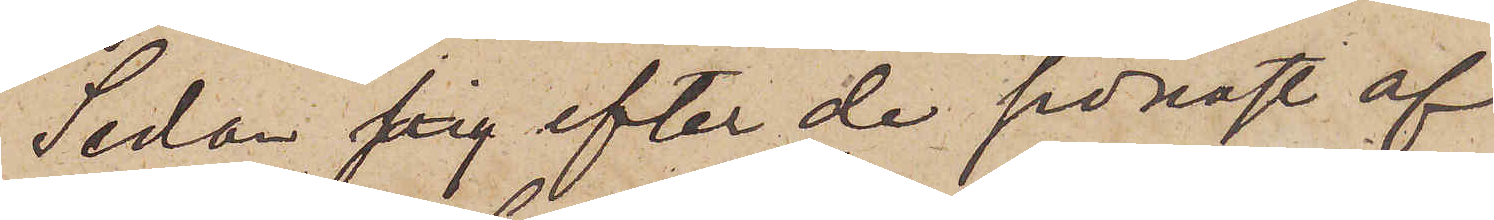Sedan jag efter de senast af
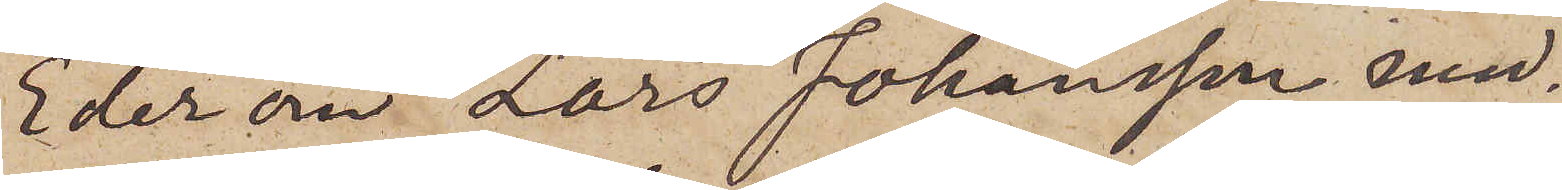Eder om Lars Johansson med¬
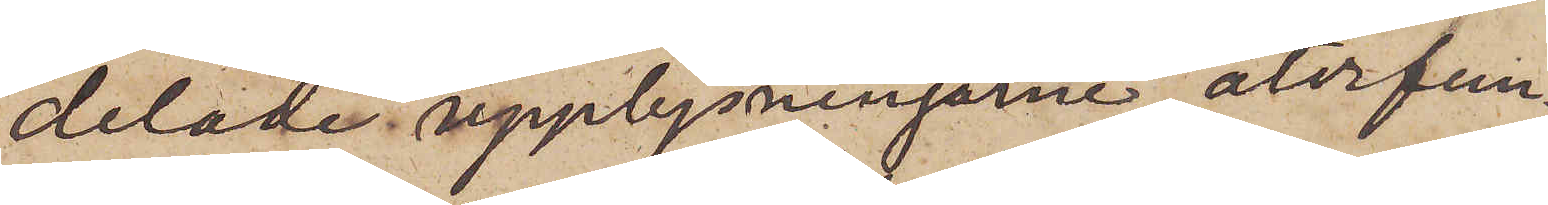delade upplysningarne återfun¬
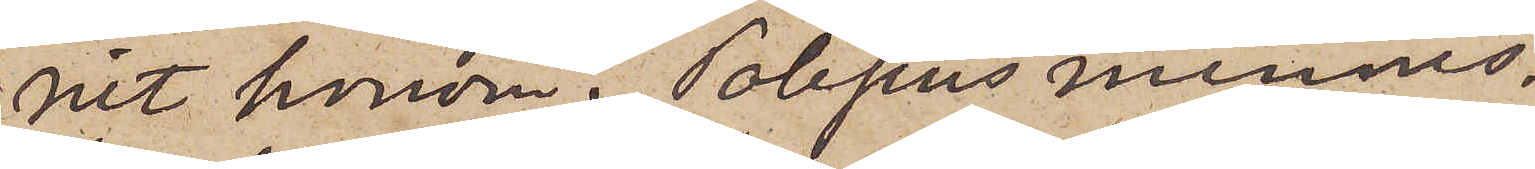nit honom i Polisens minnes¬
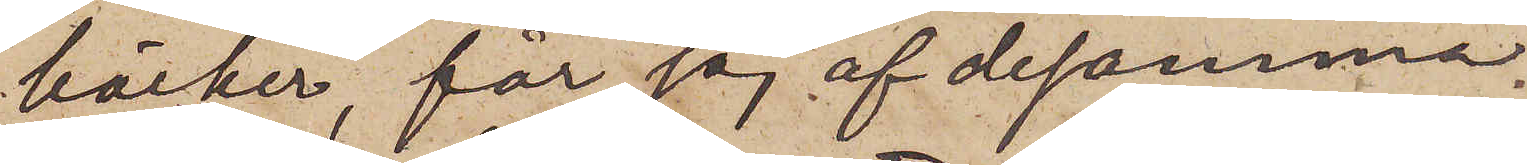böcker, får jag af desamma
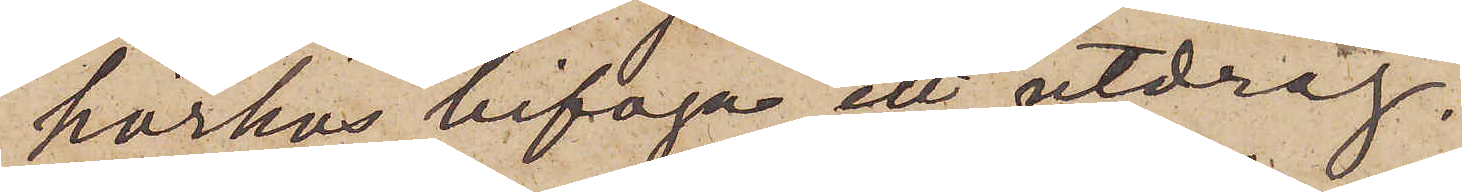härhos bifoga ett utdrag.
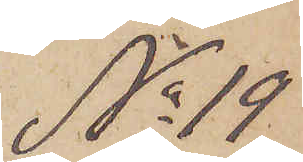No 19.
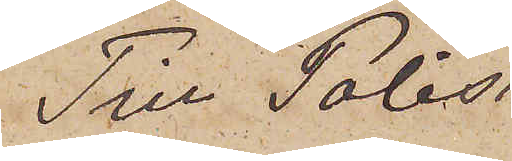Till Polis¬
